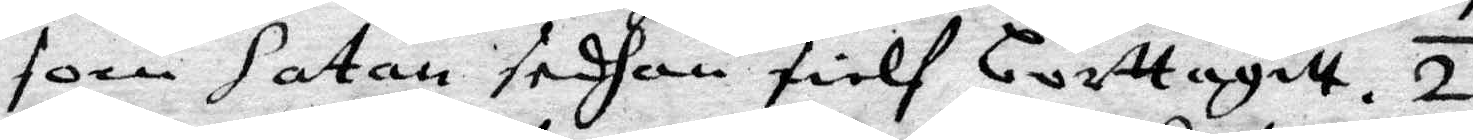som Satan sedhan sielf borttagitt. 2.
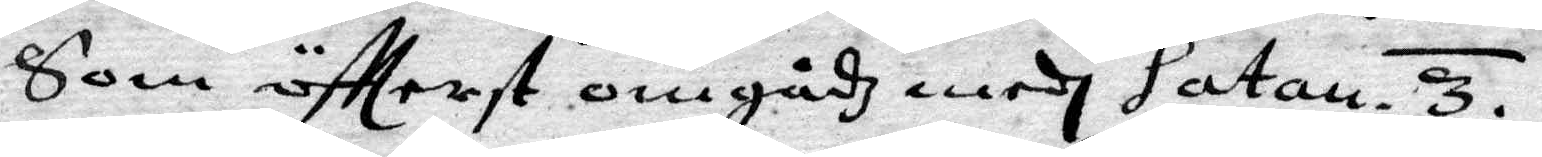som öftterst omgådz medh Satan. 3.
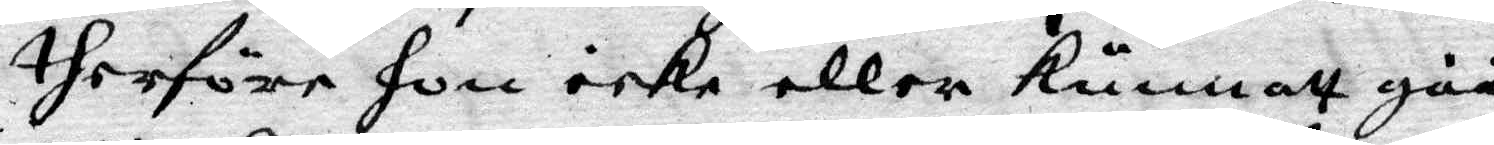therföre hon icke eller kunnatt gåå
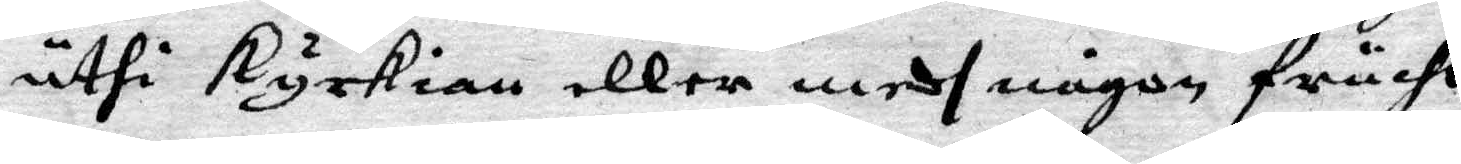uthi kyrkian eller medh någon frucht
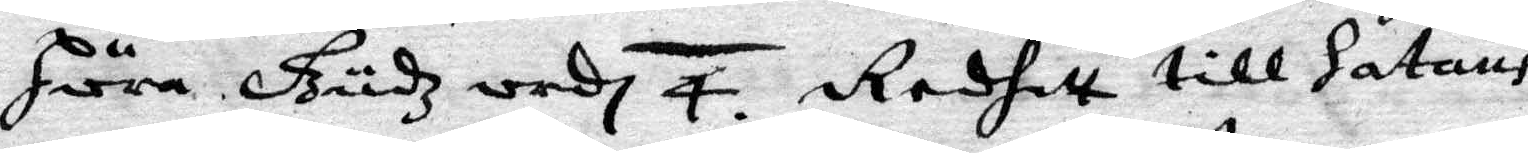höra Gudz ordh. 4. Redhitt till Satans
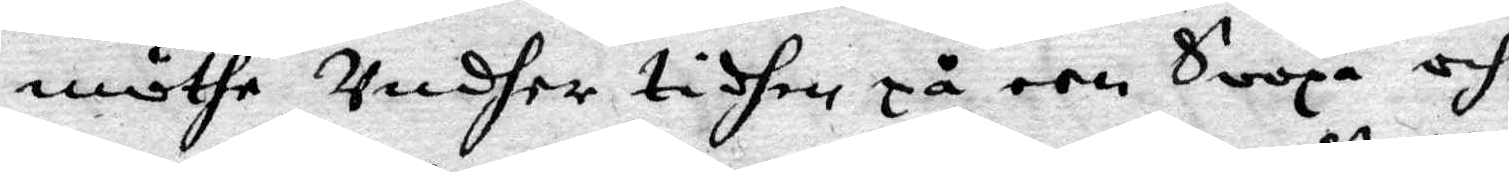möthe, undher tidhen på een soopa och
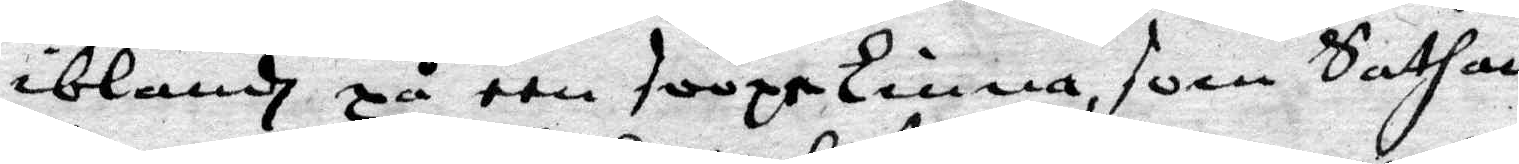iblandh på een toopetunna, som Sathan
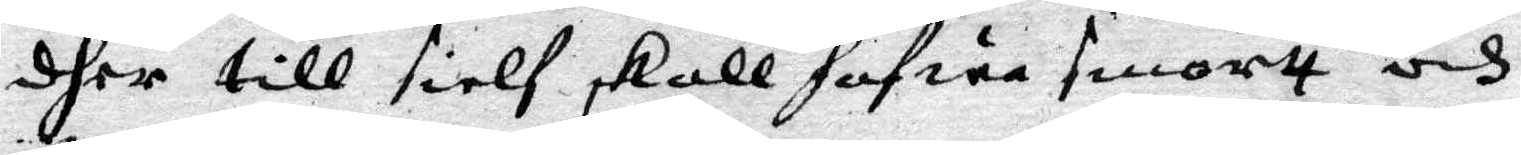dher till sielf skall hafwa smortt och
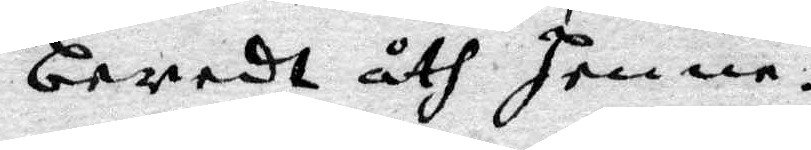beredt åth henne.
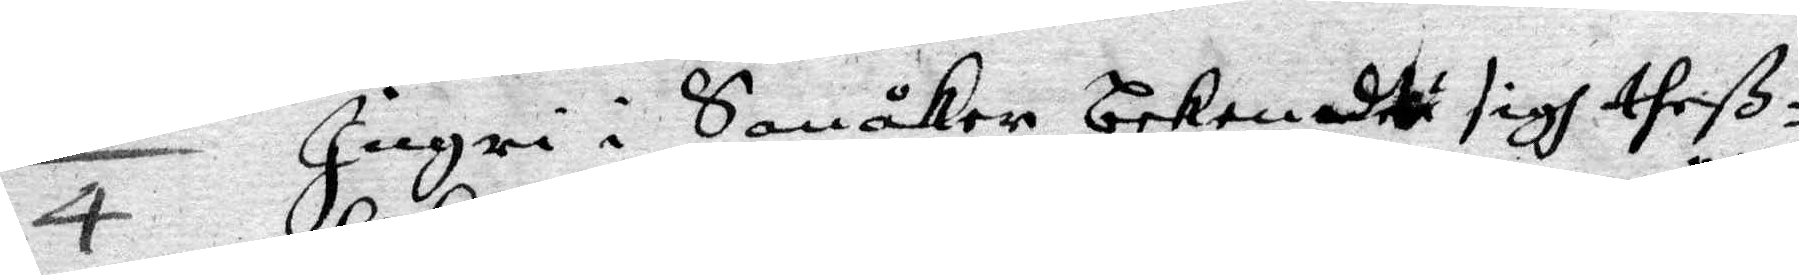4 Ingri i Sanåker bekendte sigh theß¬
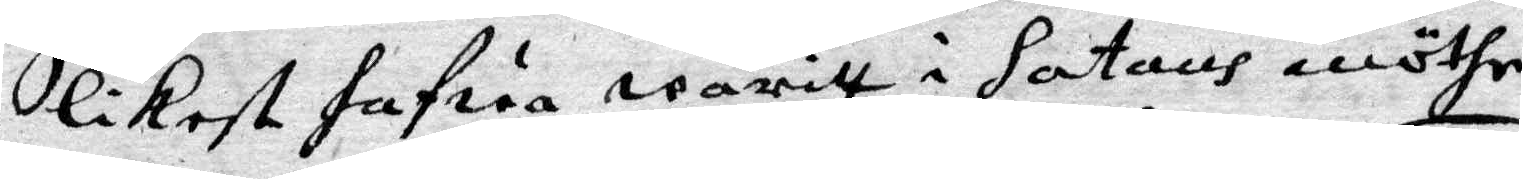likest hafwa waritt i Satans möthe,
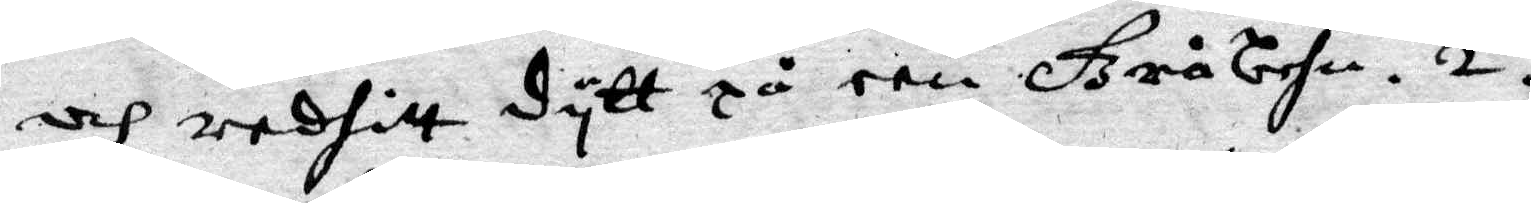och reditt dytt på een Gråbehn. 2.
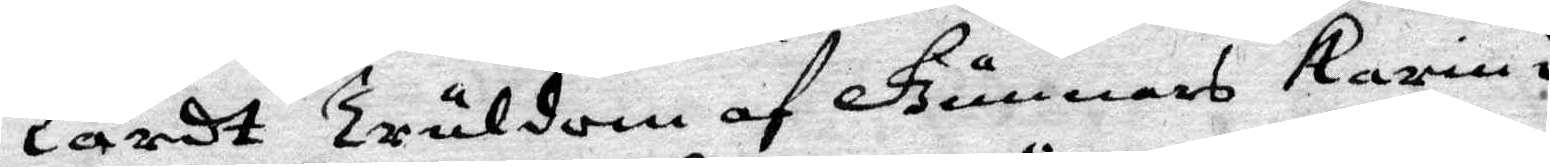Lärdt Truldom af Gunnars karin i
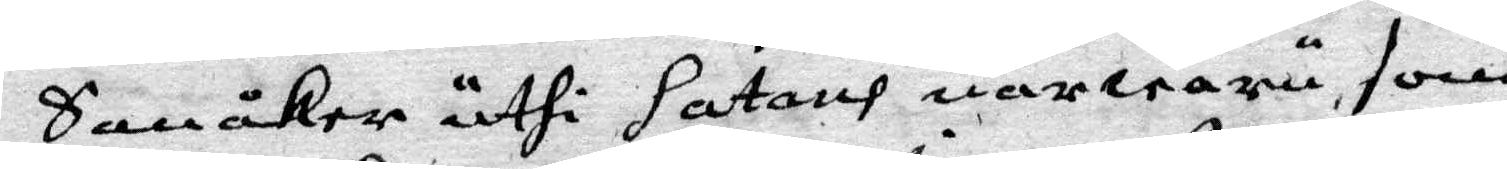Sanåker uthi Satans närwaru, som
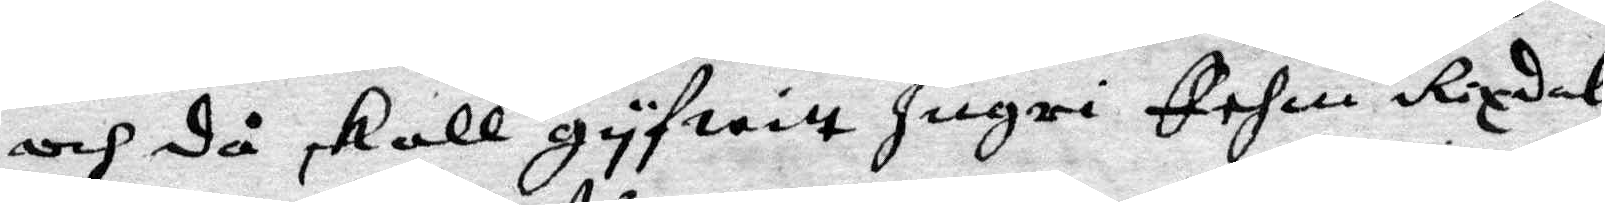och då skall gyfwitt Ingri Fehm Rixdal.
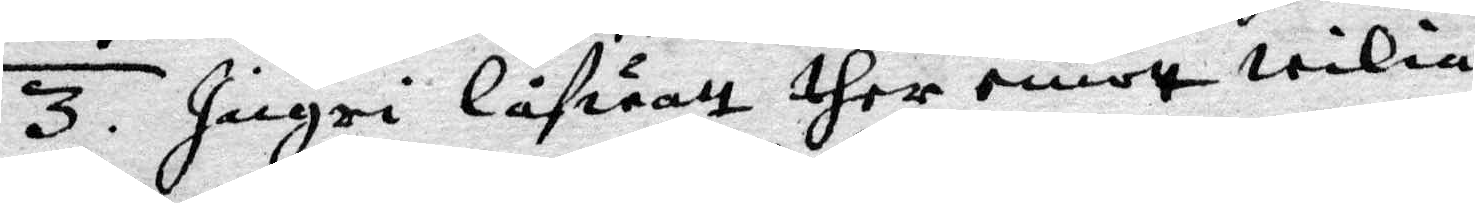3. Ingri låfwatt ther emot wilia
